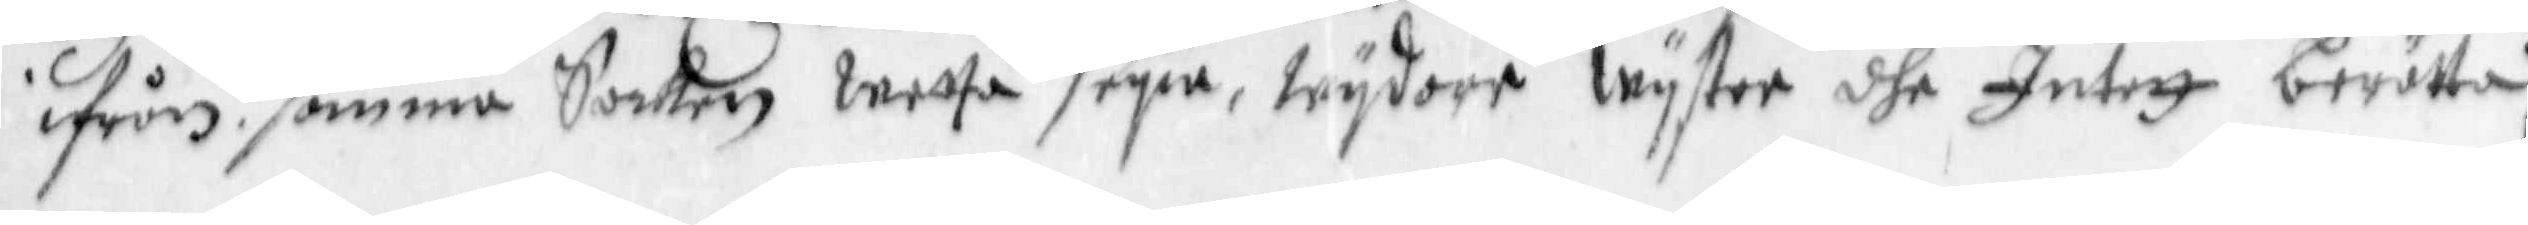ifrån samma Socken wetta seya, wydare wyster dhe Intett berätta,
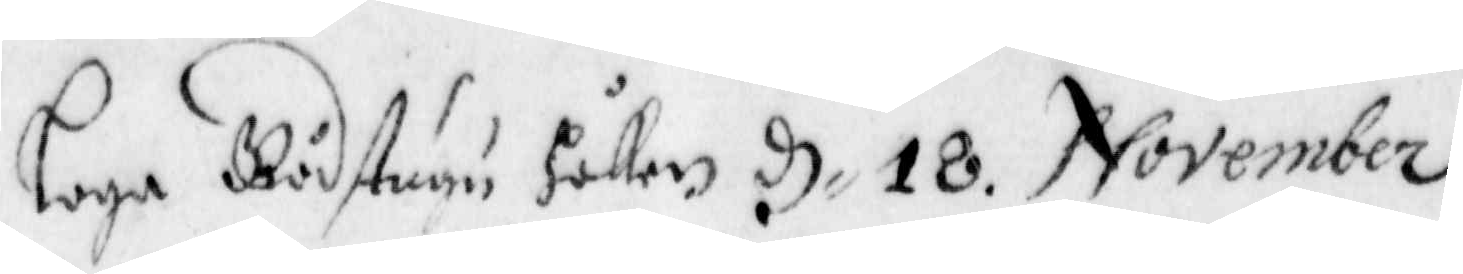Laga Rådstugu Hållen d. 18. November
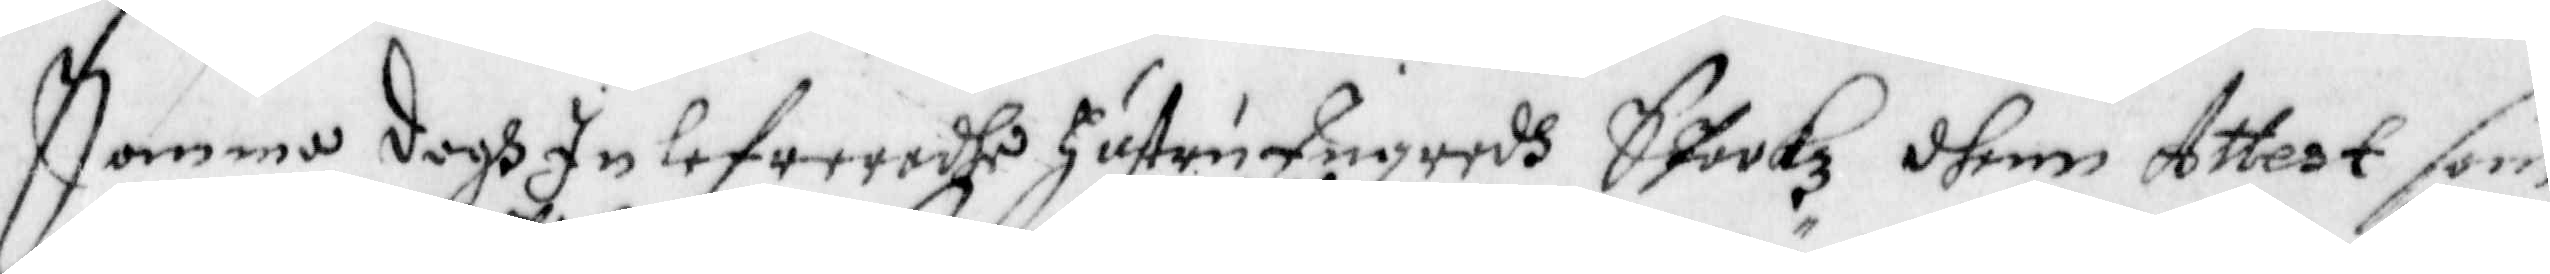Samma dagh Inlefreradhe Hustru Ingredh Stookz dhenn attest som
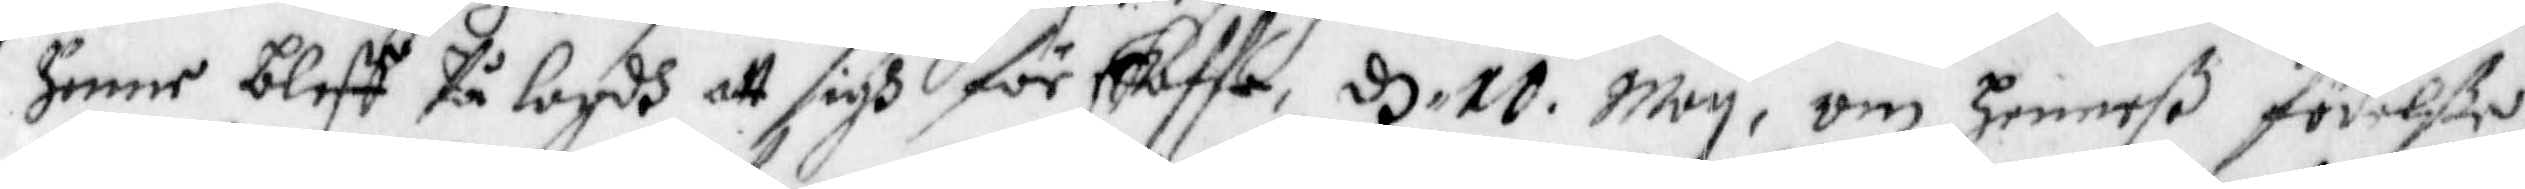Henne bleff På Lagdh att sigh förskaffa, d 10 May, om henneß födelße
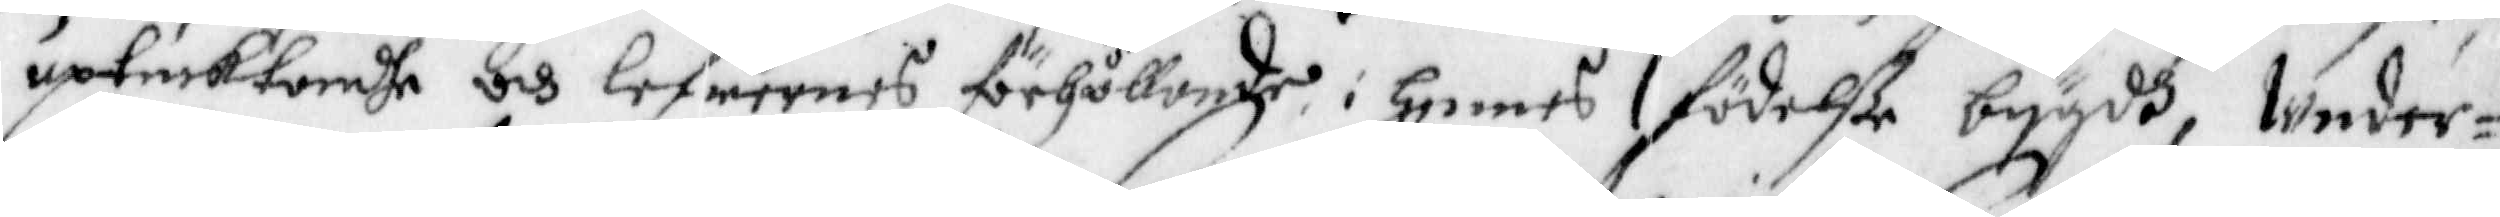uptäcktandhe och lefwernes förhållande i hennes födelße bygdh, Under¬
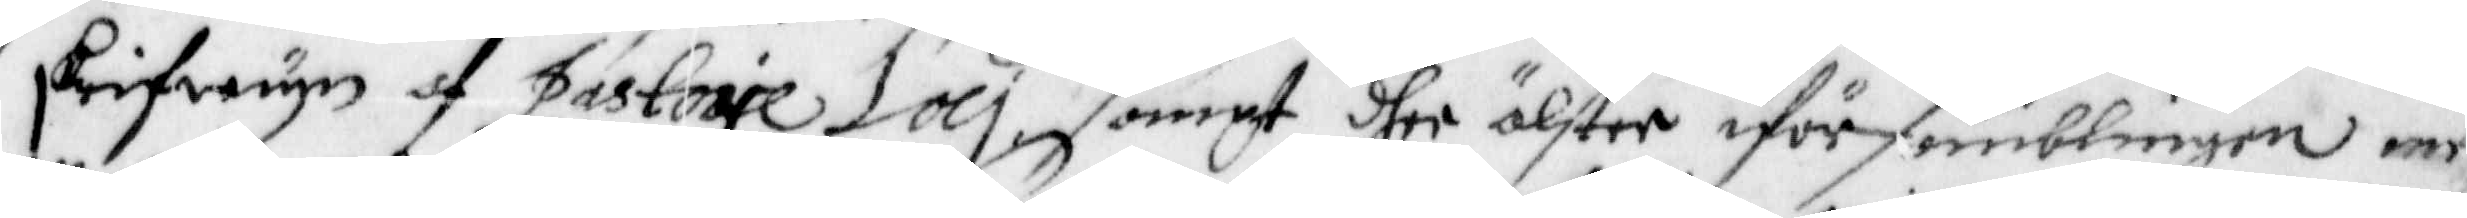skrifwynn af Pastorie Loci, samt dher älster i församblingen med
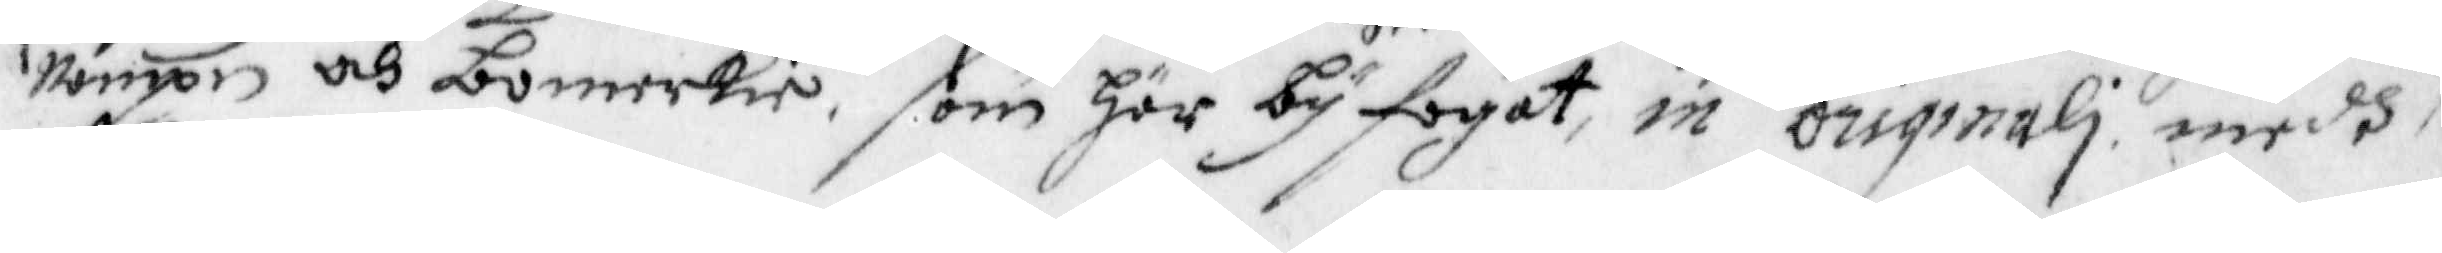nampn och bomerkie, som här byfogat, in Originali medh
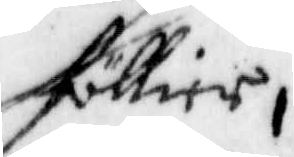föllier,
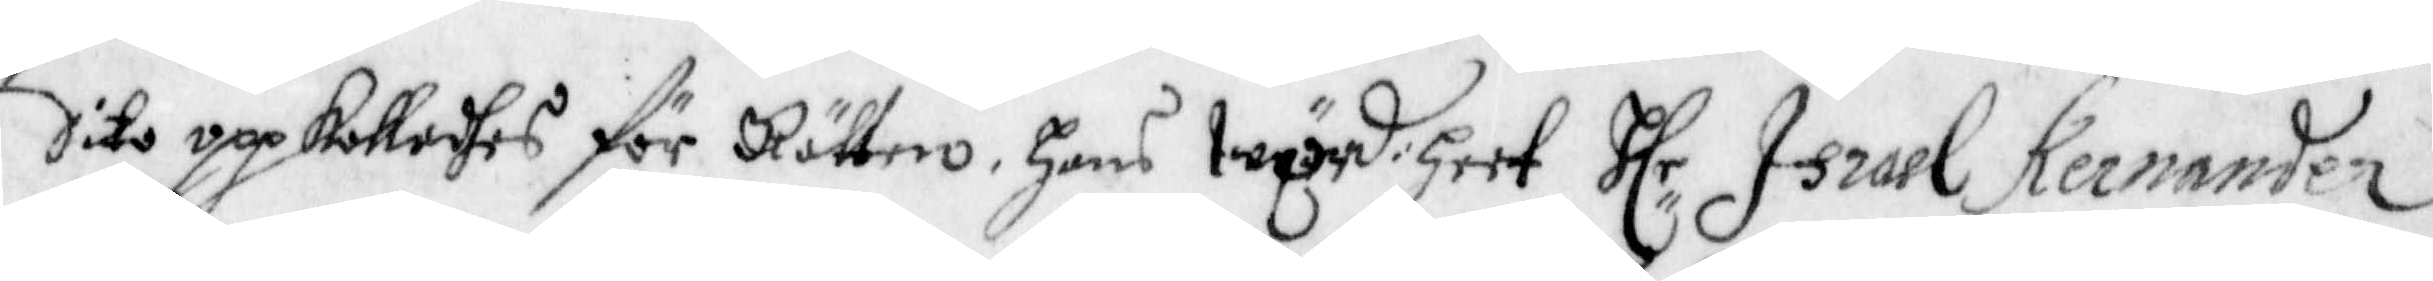Dito uppkalladhes för Rätten, Hans Wörd:heet Hlr Israel Kernander.
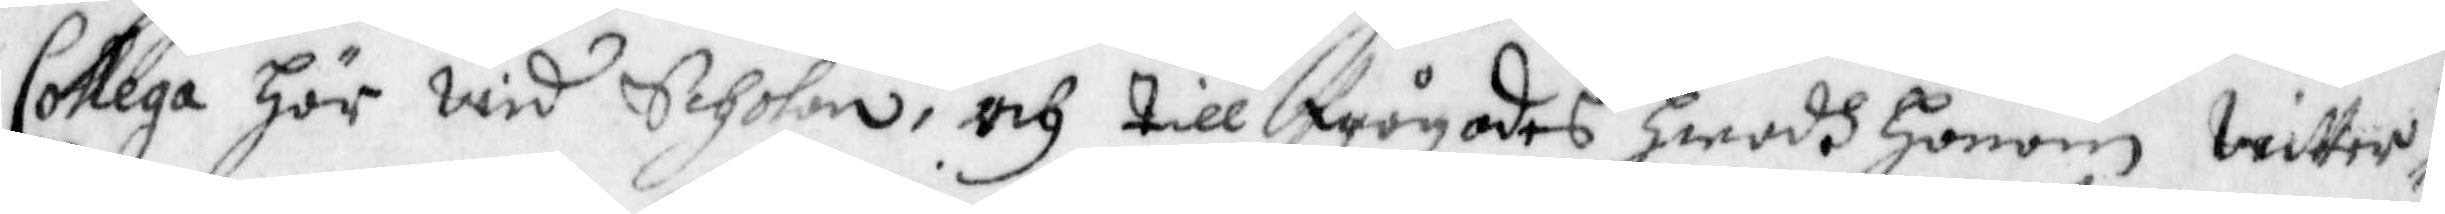Collega Här wid Scholan, och tillfrågades hwadh honom Witter¬
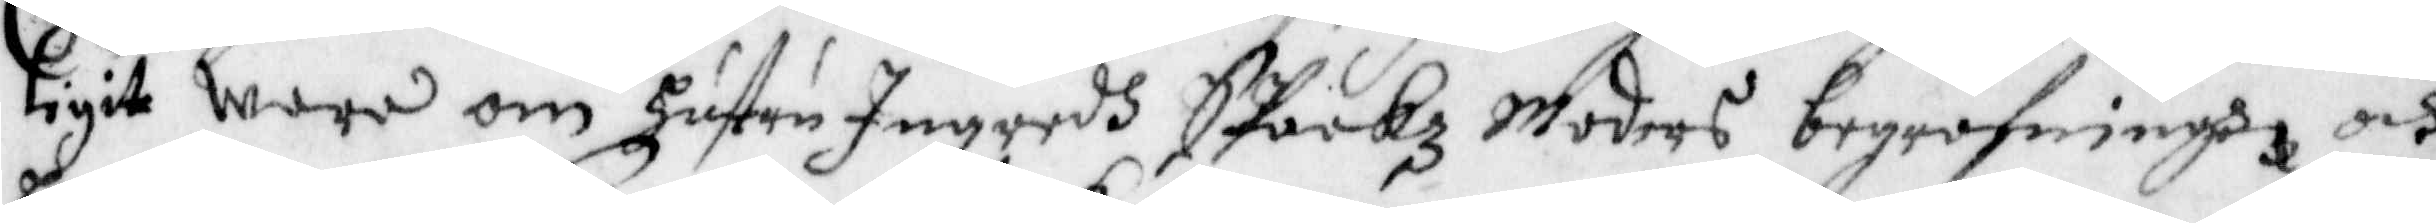ligit wara om Hustru Ingredh Staakz Moders begrofningh och
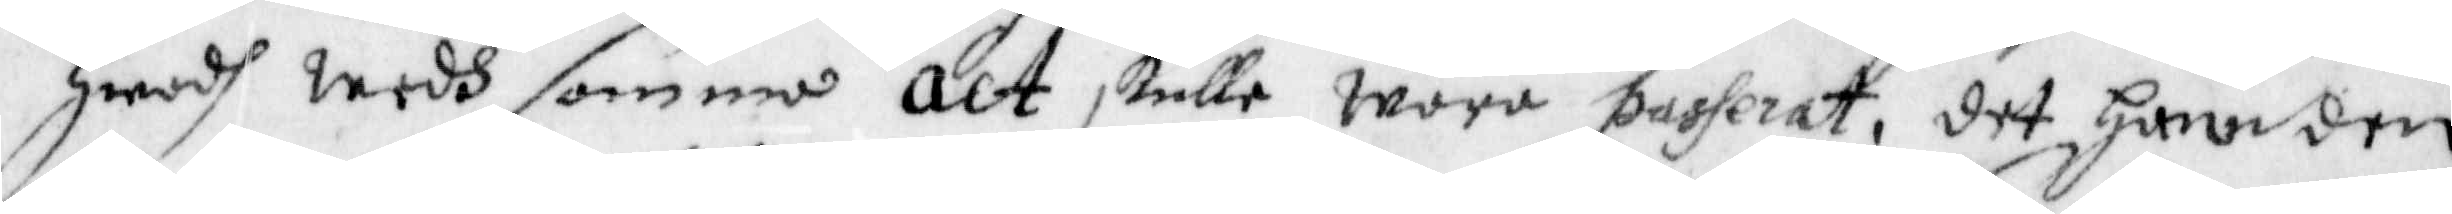hwadh wedh samma act skulle wara passerat, det han den
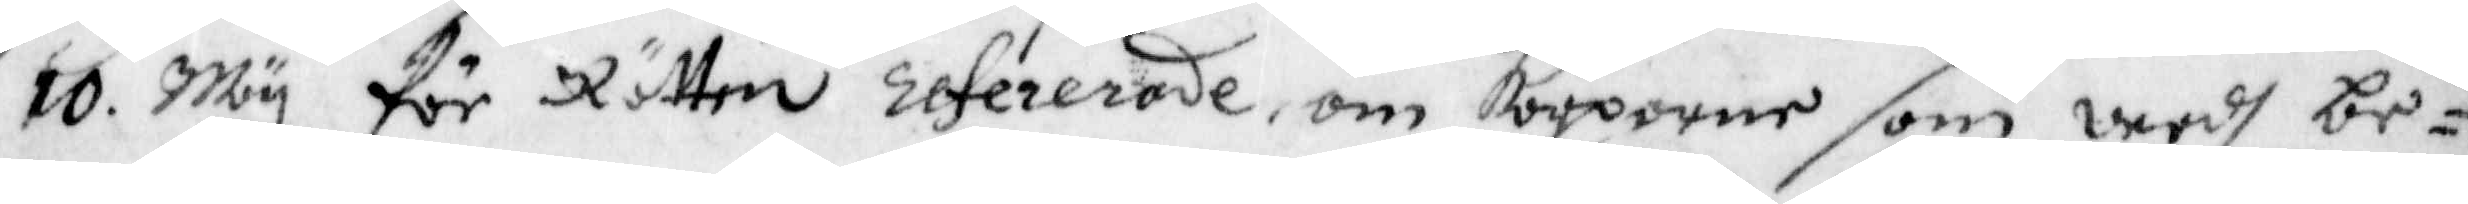10 May för Rätten refererade, om kårperne som wedh be¬
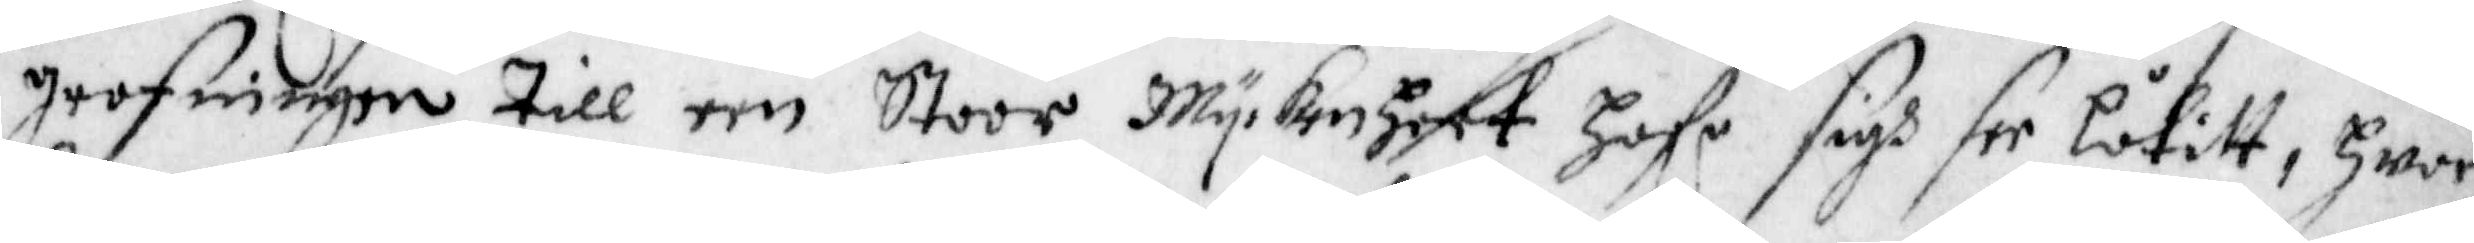grafningen till een Stoor Myckenheet Hafr sigh see låtitt, hwar
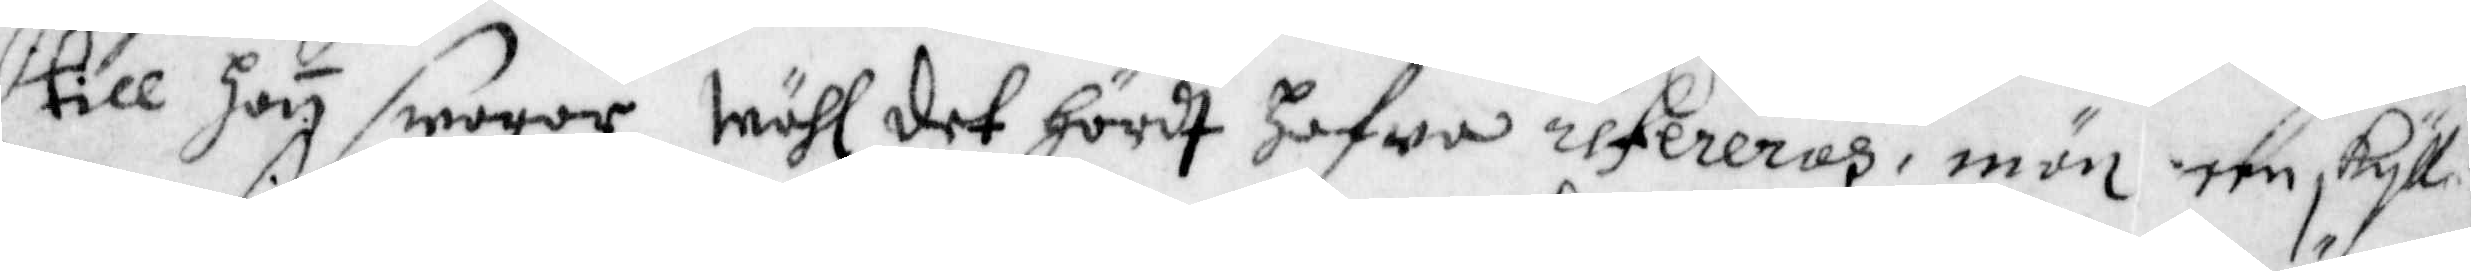till hon swarar wähl det hördt Hafwa refereras, män een skyll¬
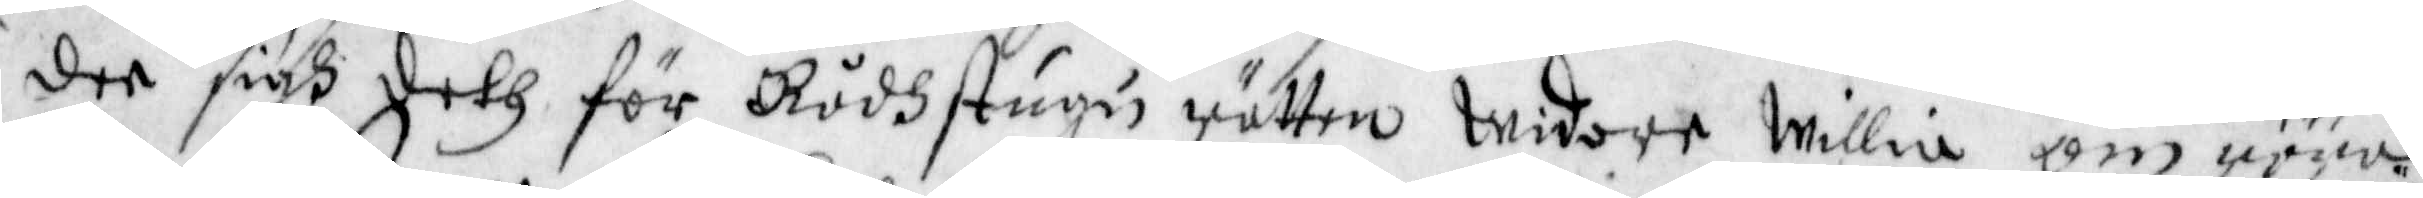der sigh deth för Rådhstugu rätten widare willia om röna
